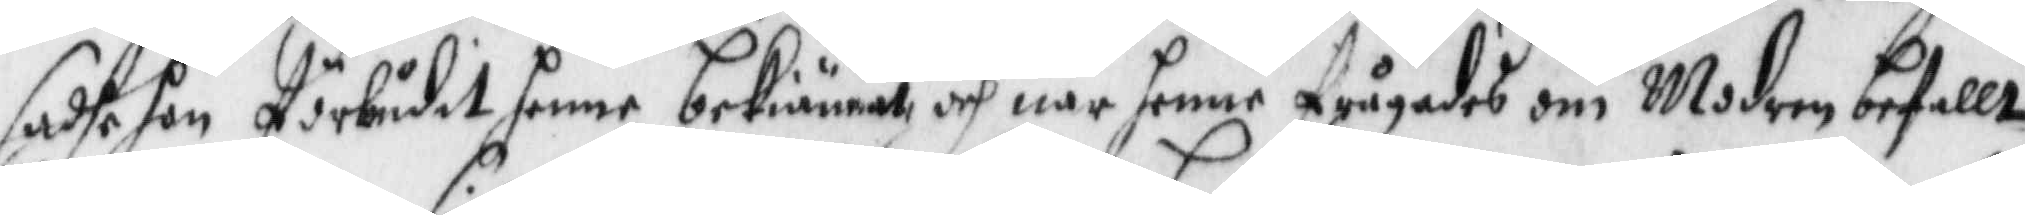sadhe hon förbudit henne bekiänna och när henne frågades om Modern befallt
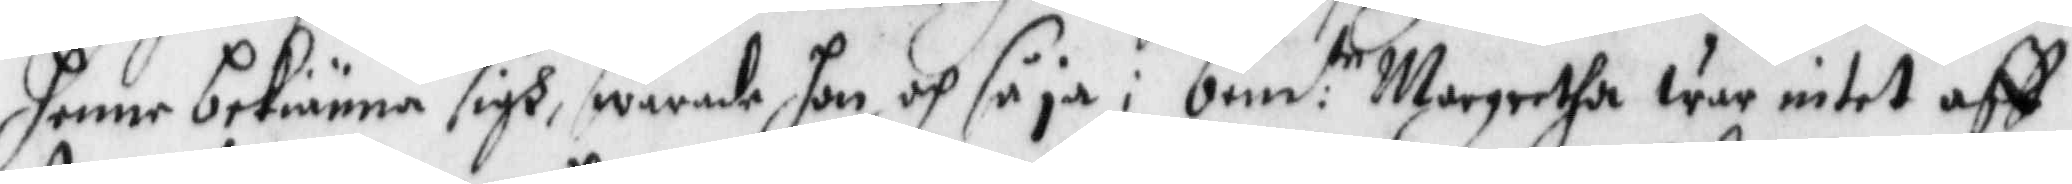henne bekiänna sigh, swarade hon och så ja: ben:de Margretha war intet aff
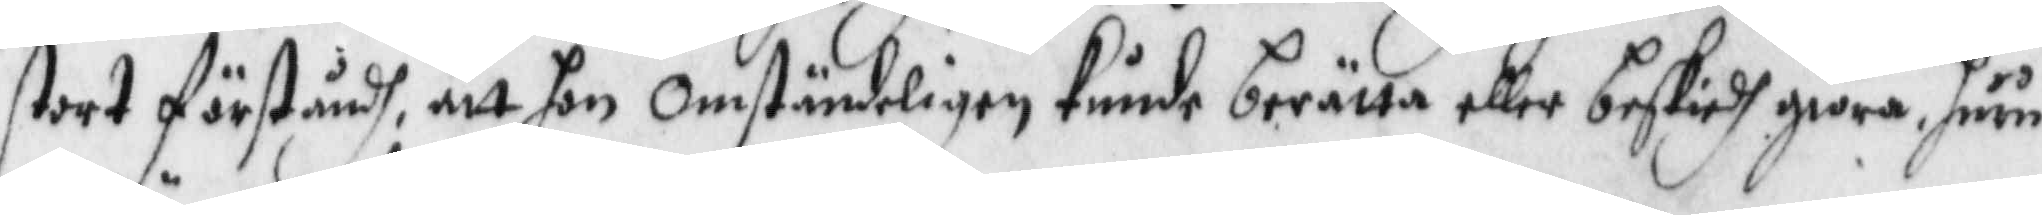stort förståndh, att hon omständeligen kunde berätta eller beskiedh giöra huru
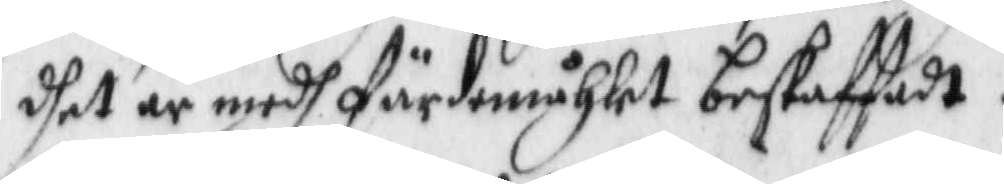dhet är medh färdmåhlet beskaffadt.
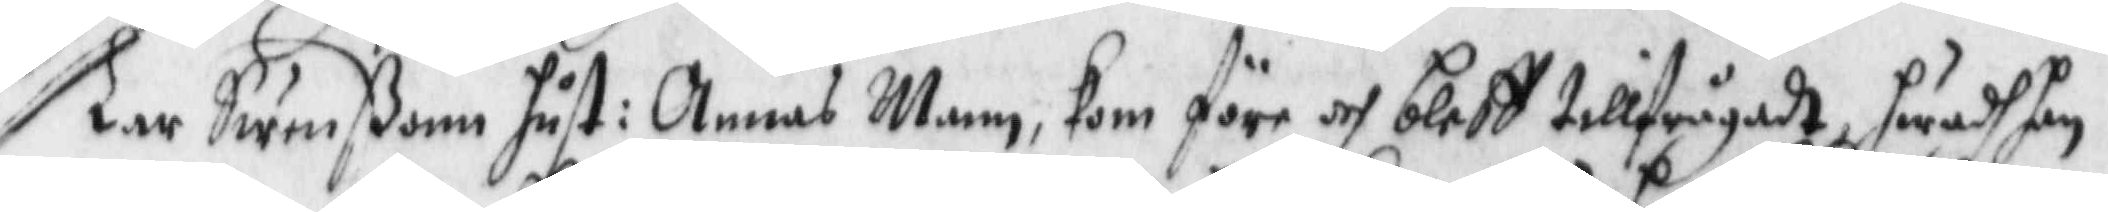Lar Swenßonn hust: Annas Mann, kom före och bleff tillfrågadt hwadh han
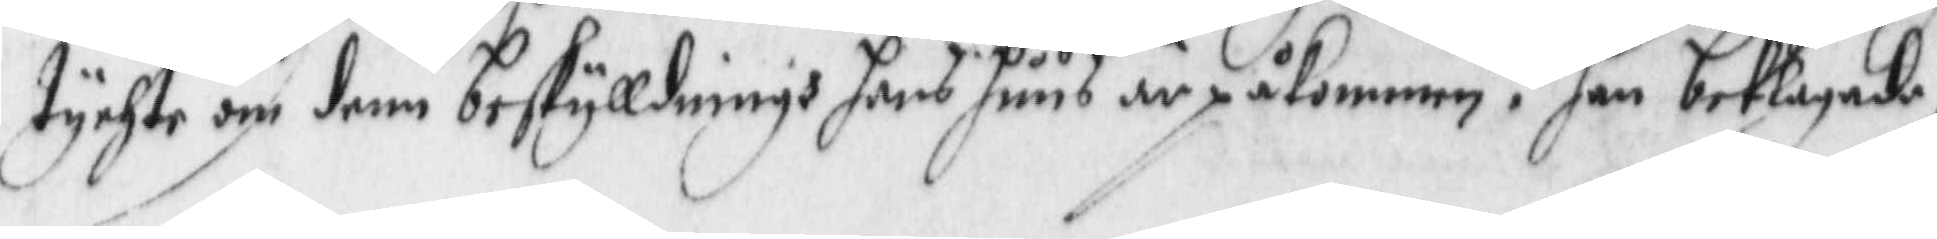tychte im denn beskyllningh hans huus är påkommen? han beklagade
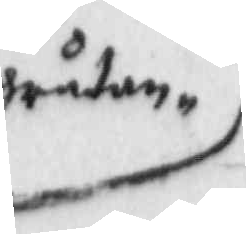gråtan
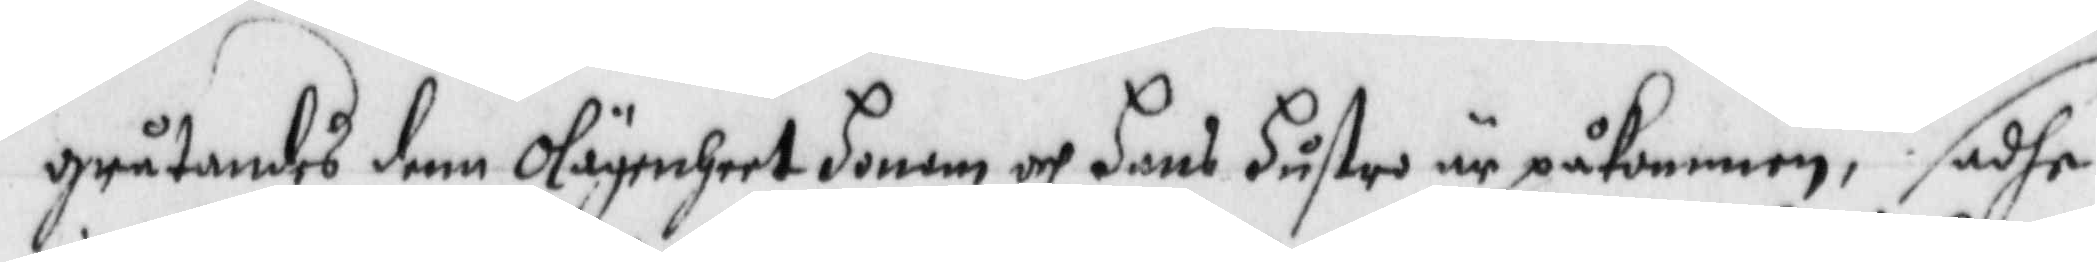gråtandes denn olägenheet honom och hans hustro är påkommen, sedhan
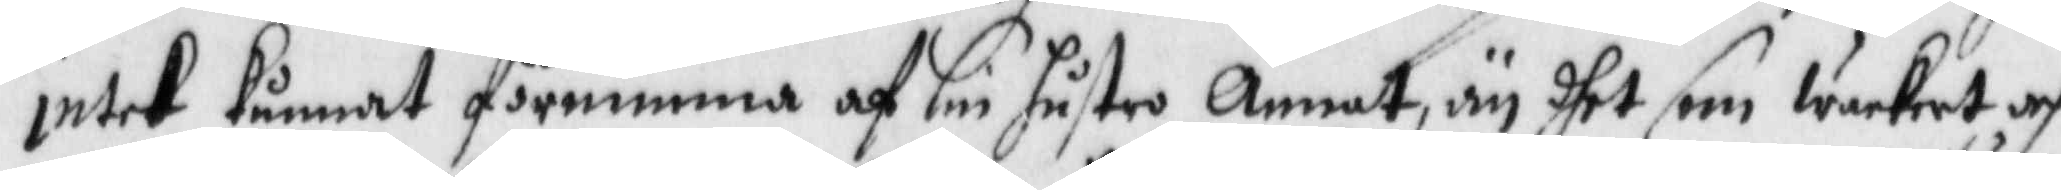intet kunnat förnimma af sin hustro annat, än dhet som wackert och
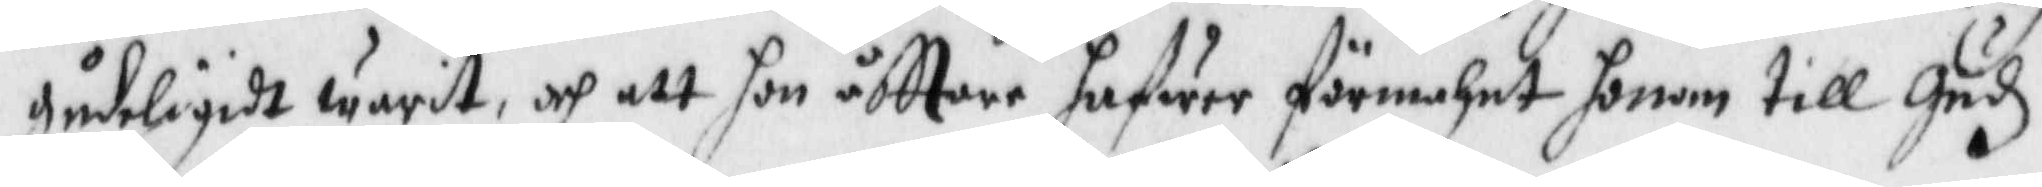gydeligdt warit, och att hon åfttare hafwer förmahnat honom till Gudz
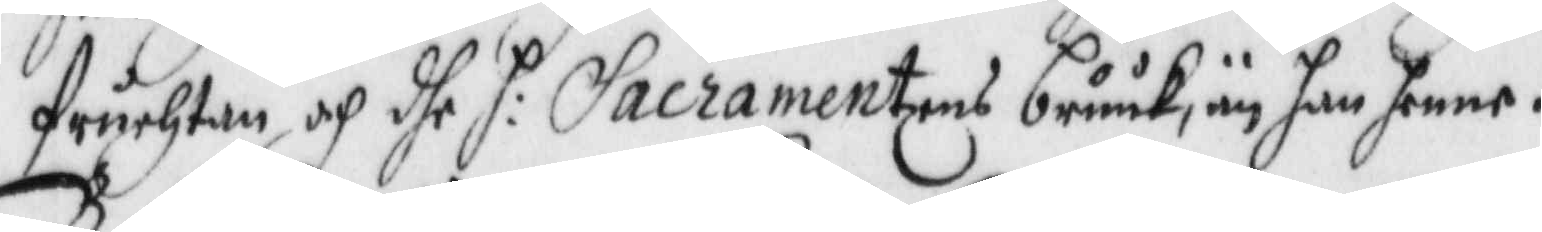fruchtan och dhe Sacramentens bruuk, än han henne.
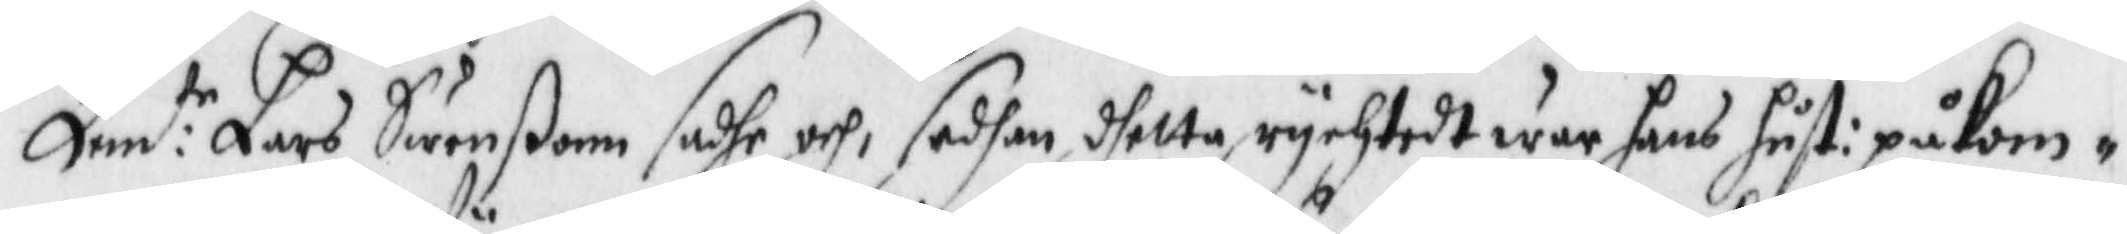Bem:te Lars Swenßon sadhe och, sedhan dhetta rychtedt war hans hust: påkom¬
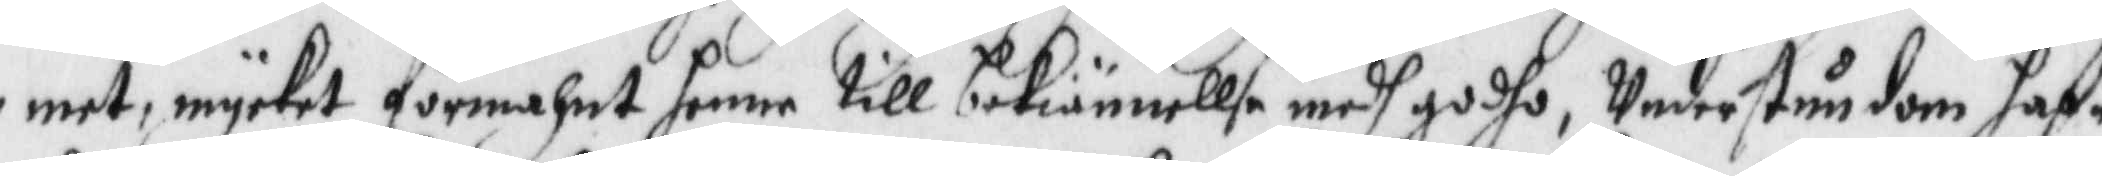met mycket förmahnat henne till bekiännellse medh godho, Understundom haf¬
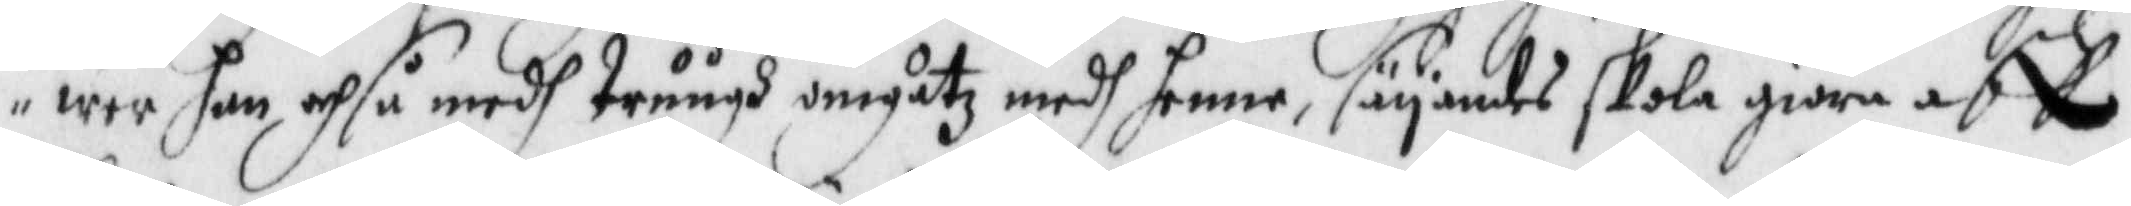wer han och så medh truugh umgåtz medh henne, säyandes skola giöra aff
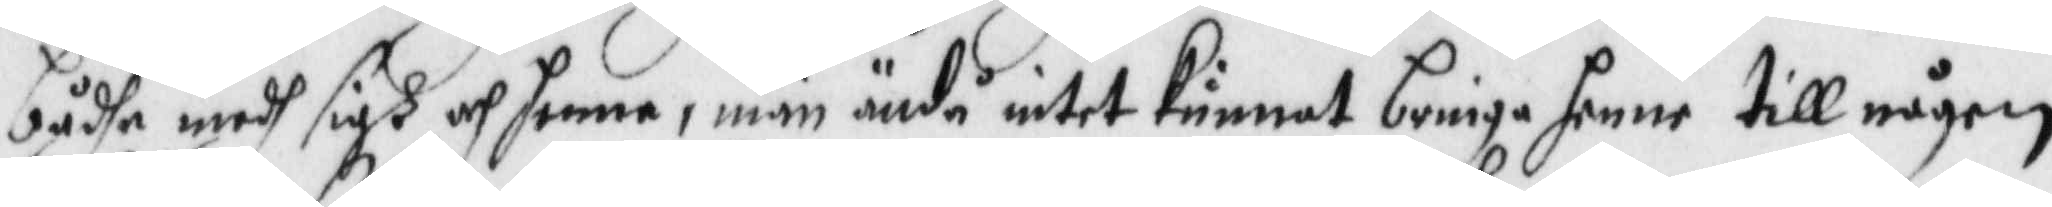bådhe medh sigh och henne, män ändå intet kunnat bringa henne till någon
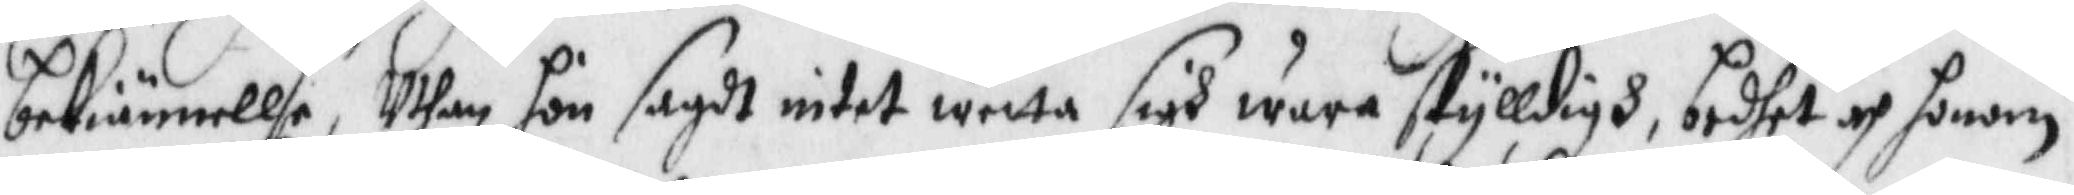bekiännellse, Uthan hon sagdt intet wetta sigh wara skylldigh, bedhet och honom
